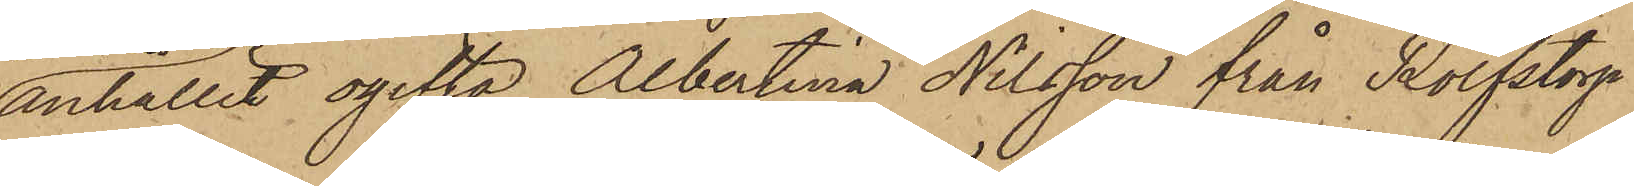anhållit ogifta Albertina Nilsson från Rolfstorp
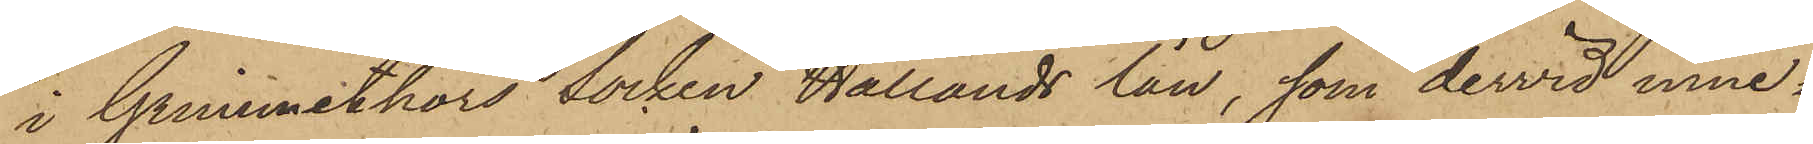i Grimmethors Socken Hallands län, som dervid inne¬
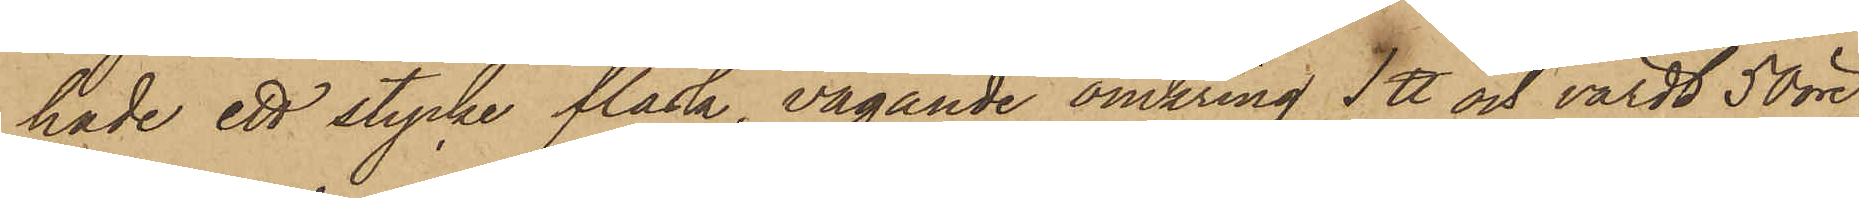hade ett stycke fläsk, vägande omkring 1 ℔ och värdt 50 öre,
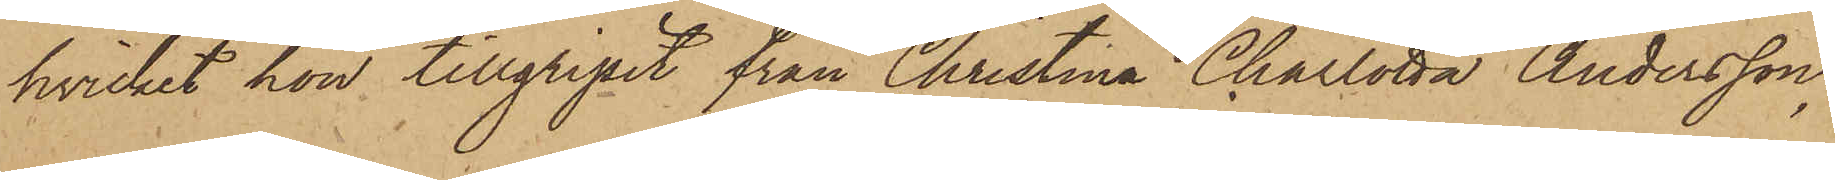hvilket hon tillgripit från Christina Charlotta Andersson;
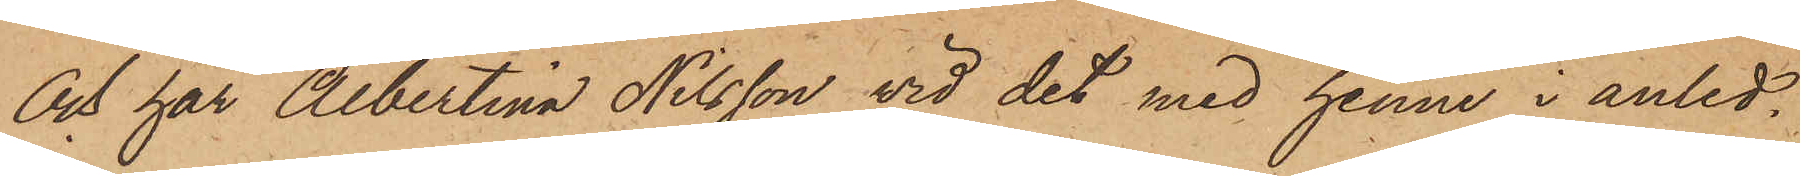Och har Albertina Nilsson vid det med henne i anled¬
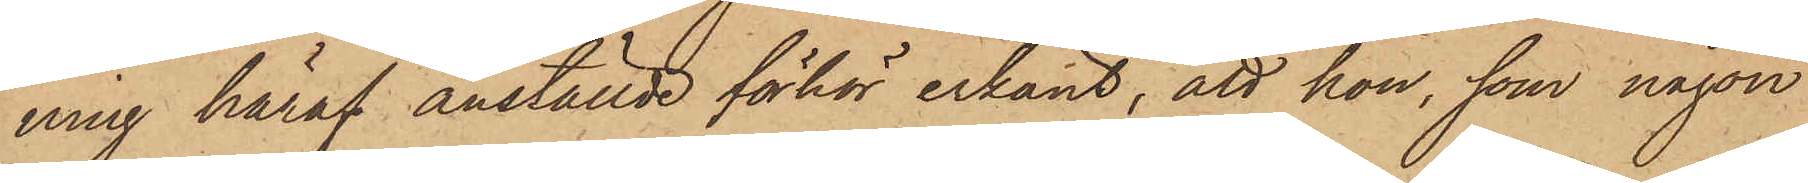ning häraf anställde förhör erkänt, att hon, som någon
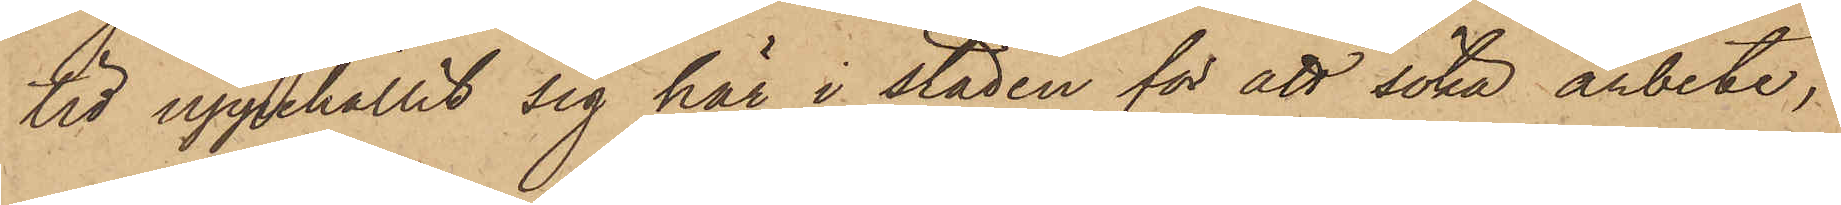tid uppehållit sig här i staden för att söka arbete,
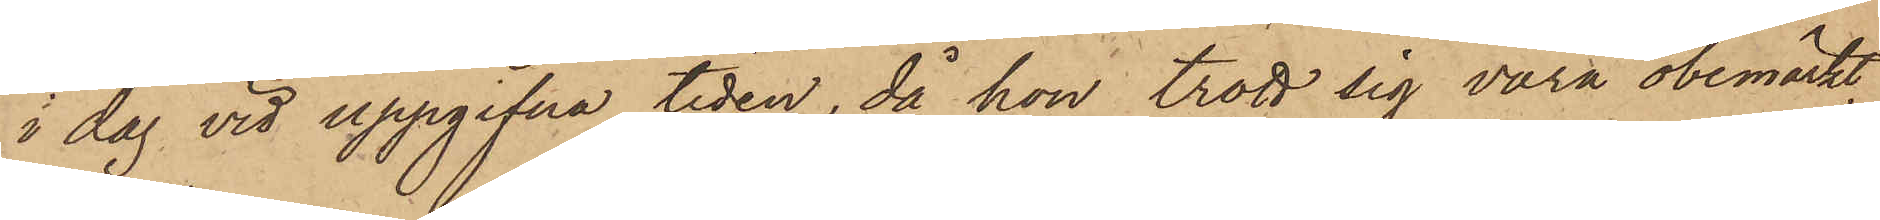i dag vid uppgifna tiden, då hon trott sig vara obemärkt,
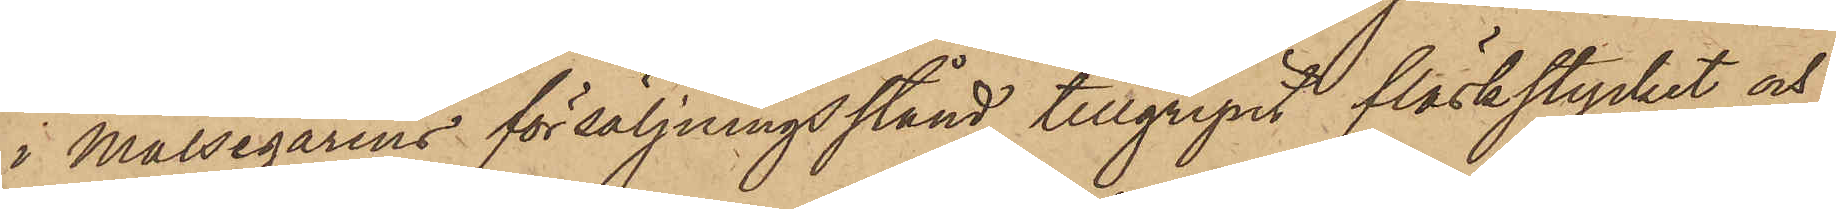i Målsegarens försäljningsstånd tillgripit fläskstycket och
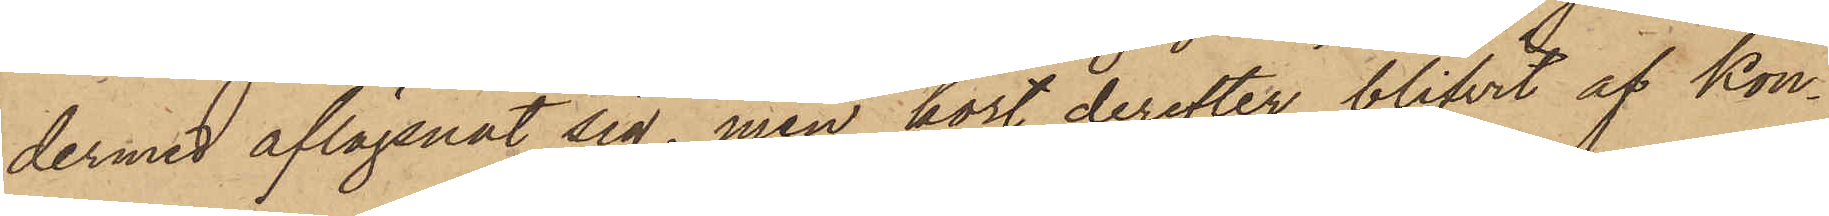dermed aflägsnat sig, men kort derefter blifvit af Kon¬
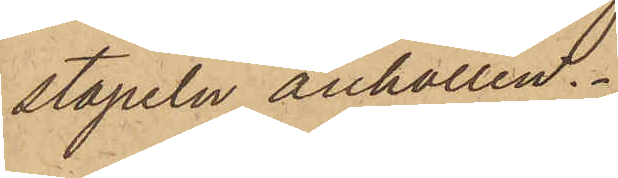stapeln anhållen.
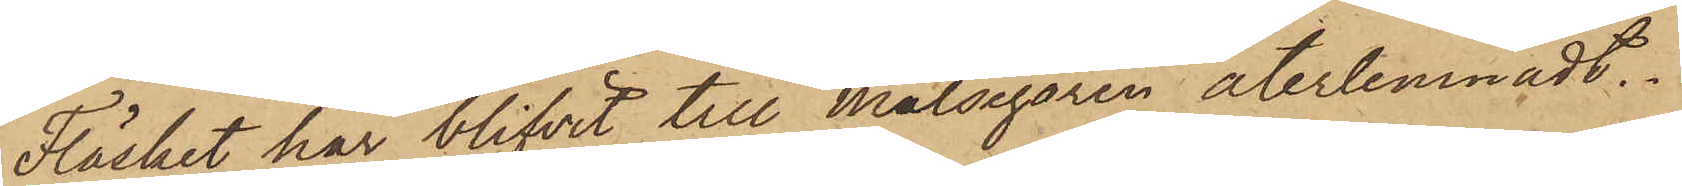Fläsket har blifvit till Målsegaren återlemnadt.
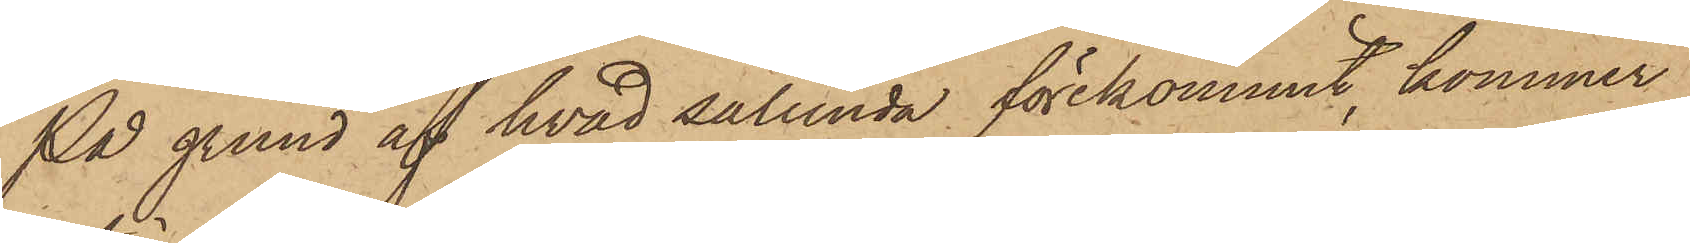På grund af hvad sålunda förekommit, kommer
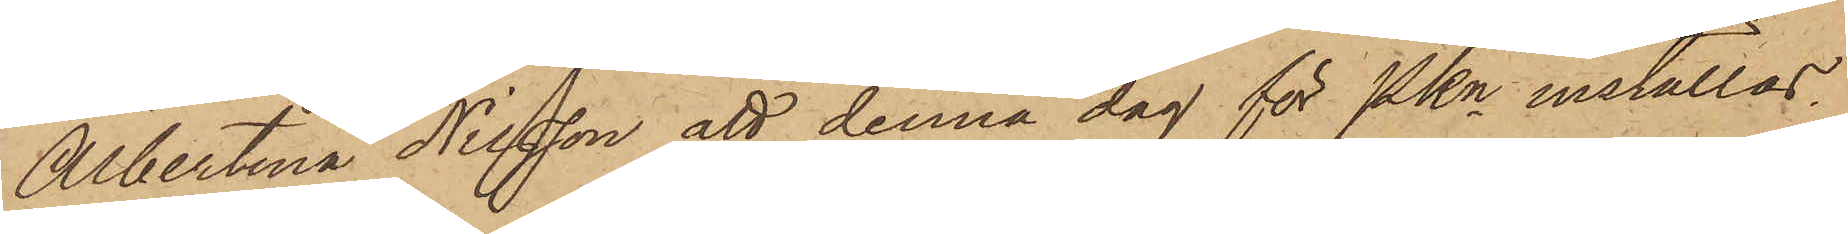Albertina Nilsson att denna dag för Pkn inställas.
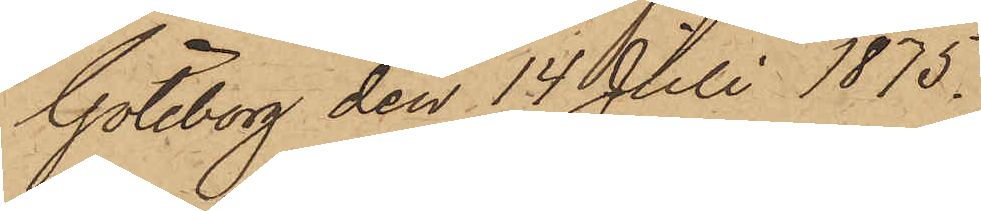Göteborg den 14 Juli 1875.
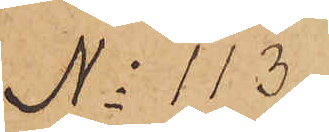No 113
